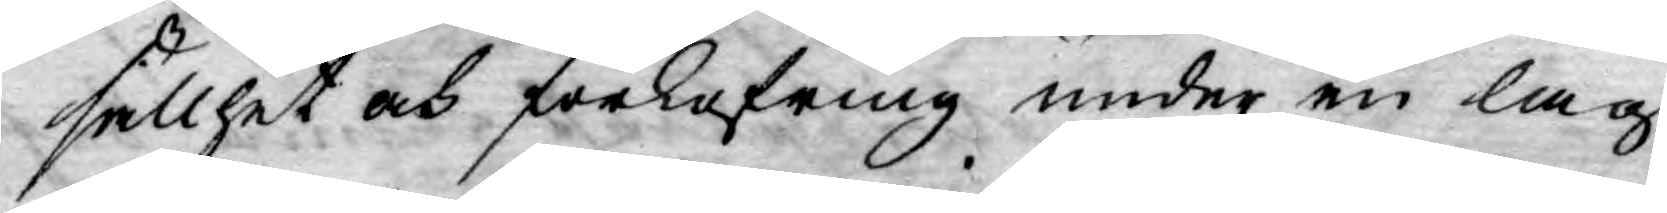sällhet och förkofring under en lag¬
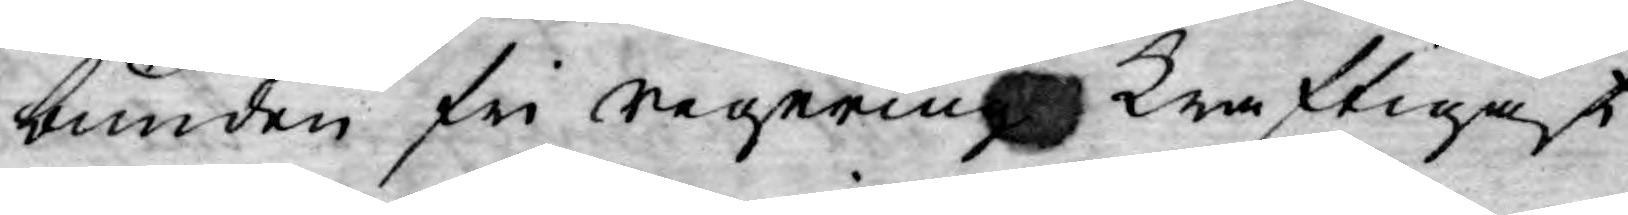bunden fri Regering kraftigast
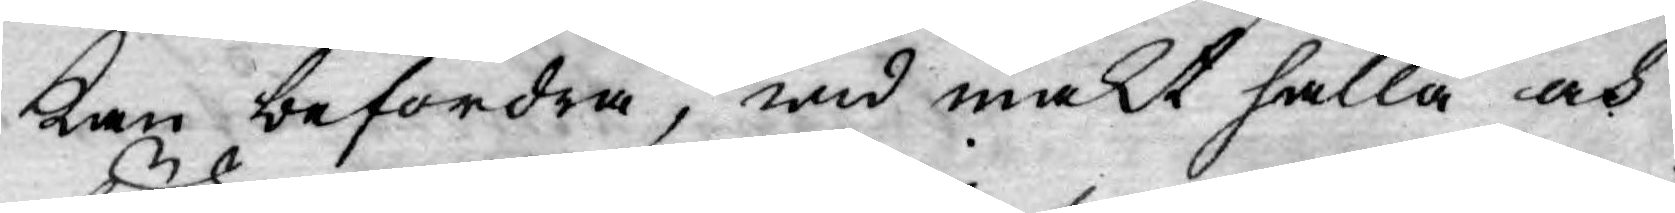kan befordra, wid makt hålla och
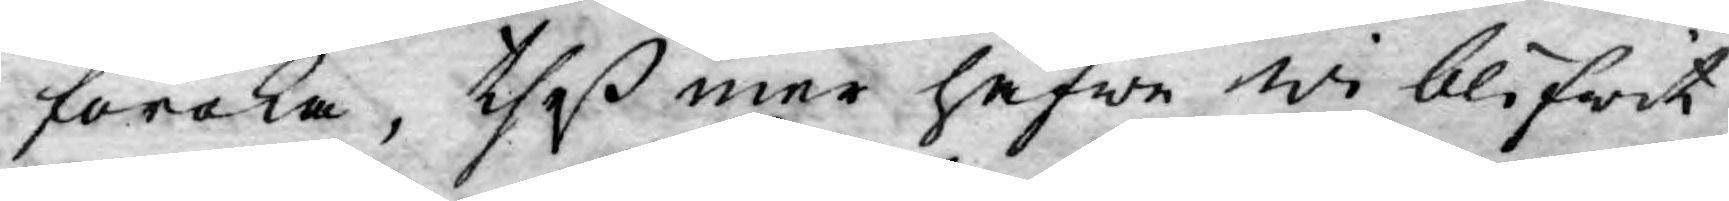föröka, theß mer hafwe wi blifwit
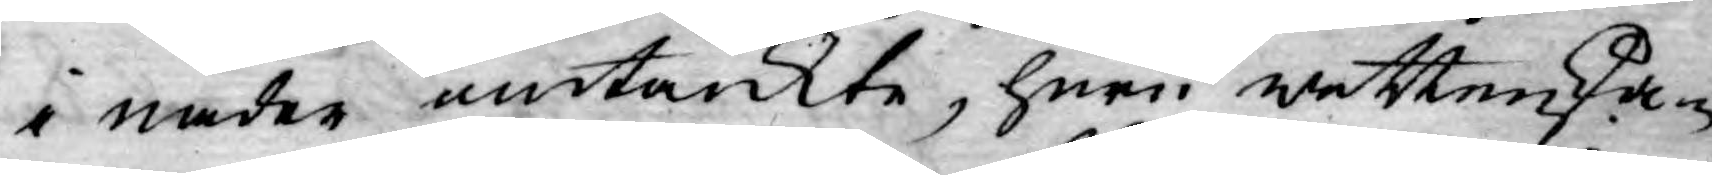i nåder omtänkte, huru wettenska¬
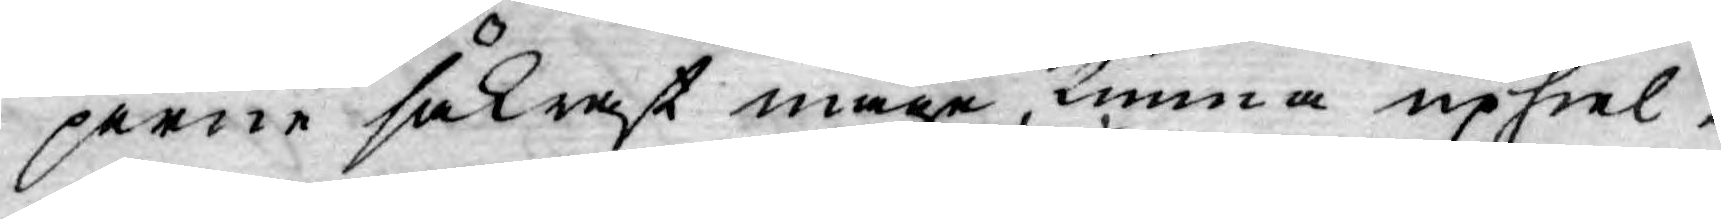perne säkrast måge, kunna uphiel¬
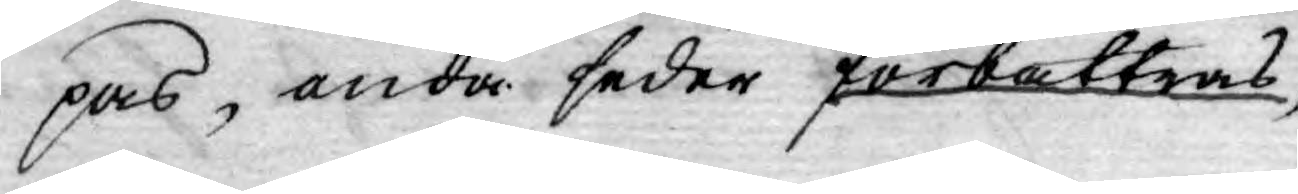pas, onda seder förbättras
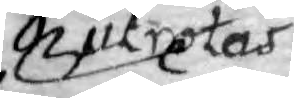utrotas
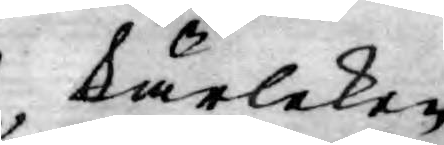kärleken
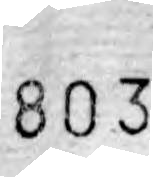803
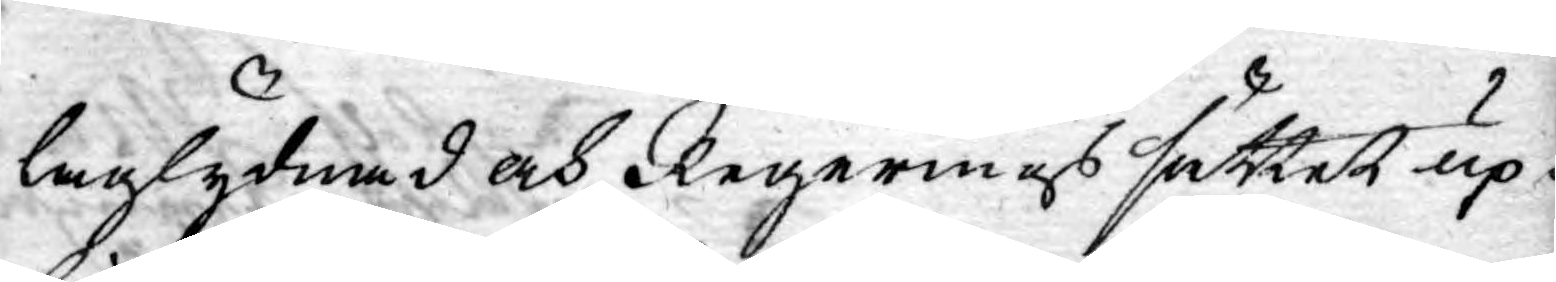laglydnad och Regerings sättet up¬
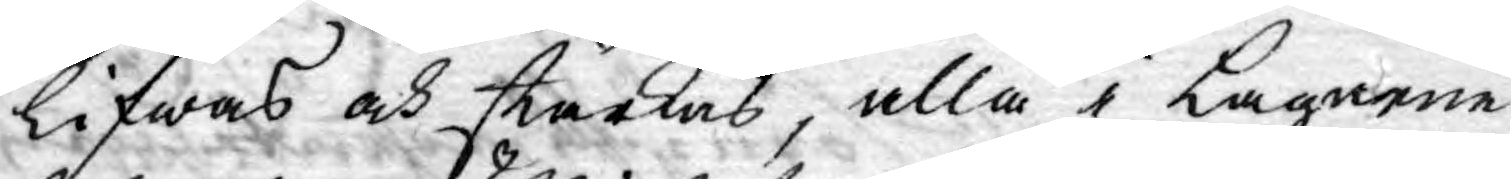lifwas och stärkas, alla i Lagarne
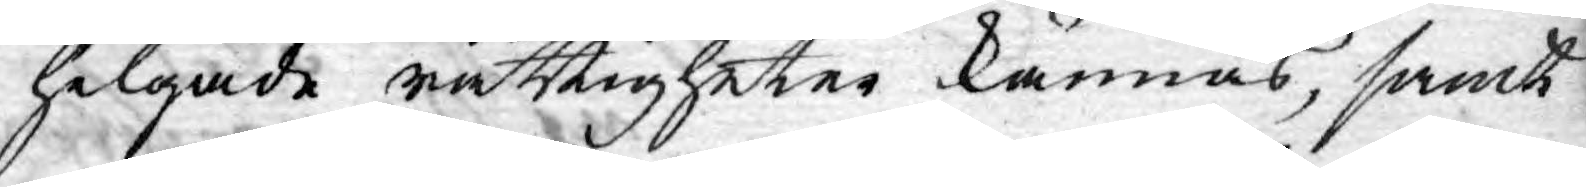helgade rättigheter kännas, samt
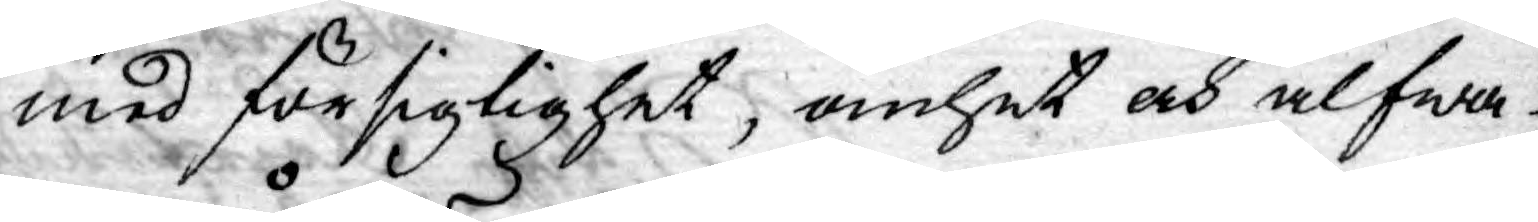med försiglighet, ömhet och alfwa¬
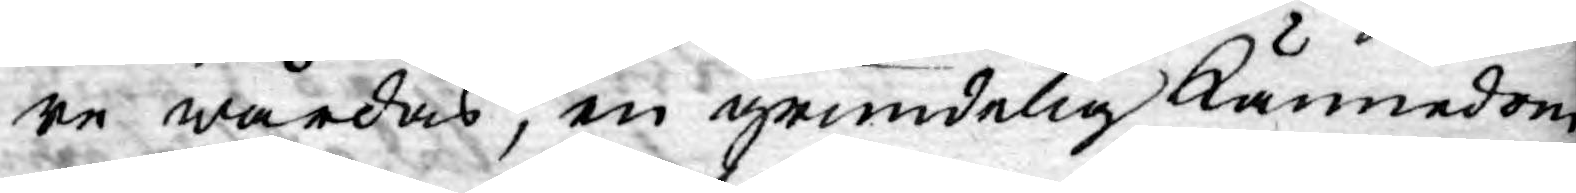re wårdas, en grundelig Kännedom
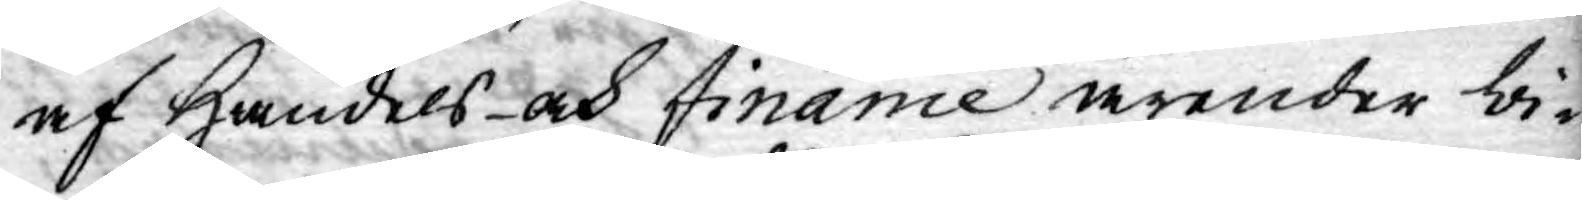af Handels- och Finance ärender bi¬
